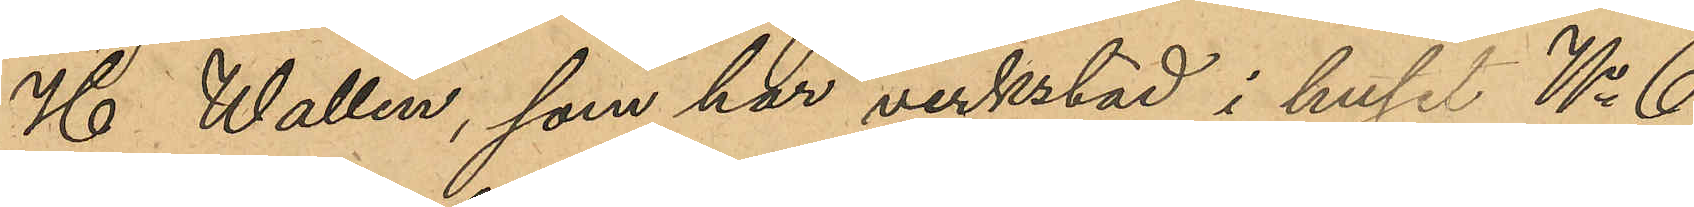H. Wallin, som har verkstad i huset No 6
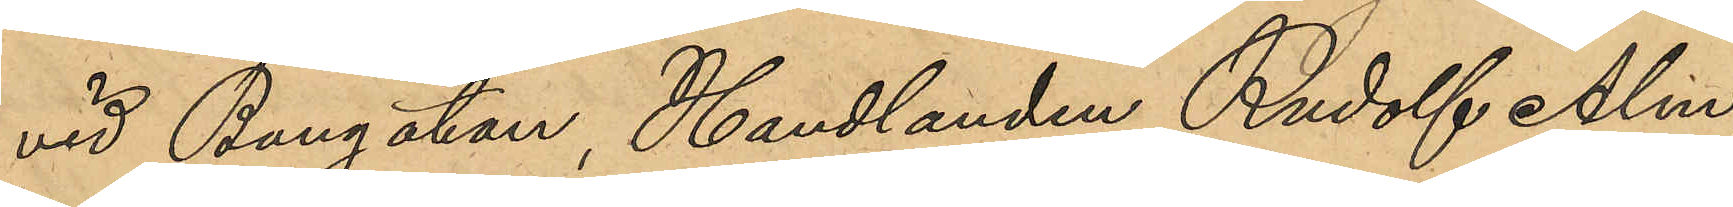vid Bangatan, Handlanden Rudolf Alm,
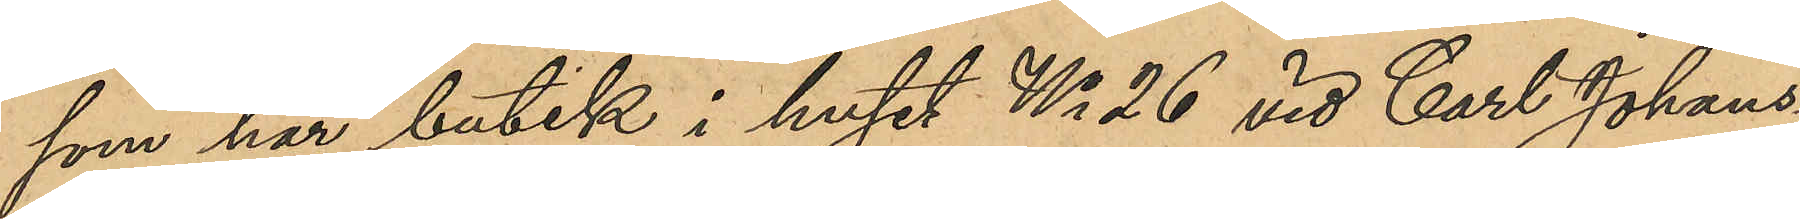som har butik i huset No 26 vid Carl Johans¬
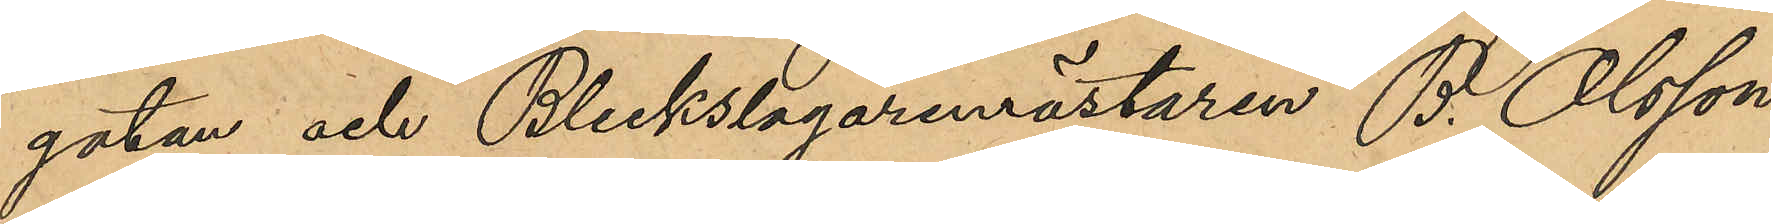gatan och Bleckslagaremästaren B. Olsson
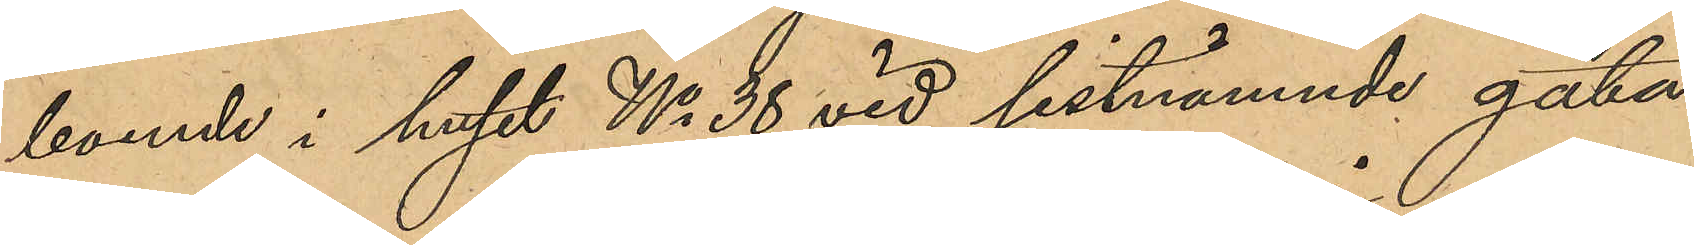boende i huset No 38 vid sistnämnde gata,
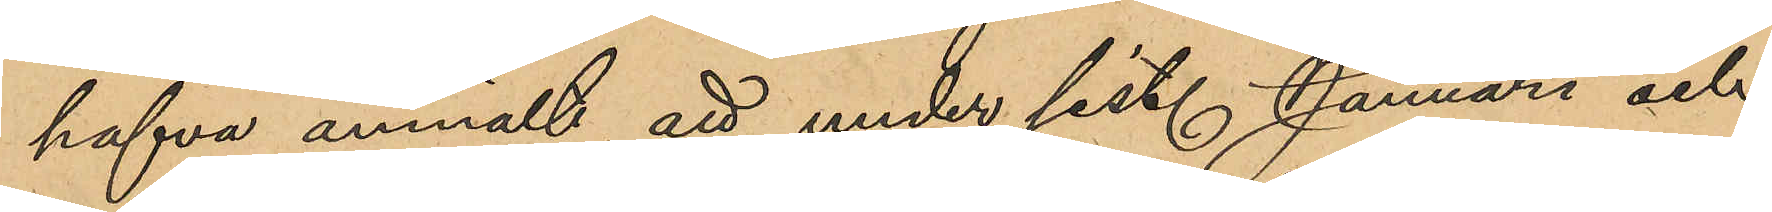hafva anmält, att under sist. Januari och 
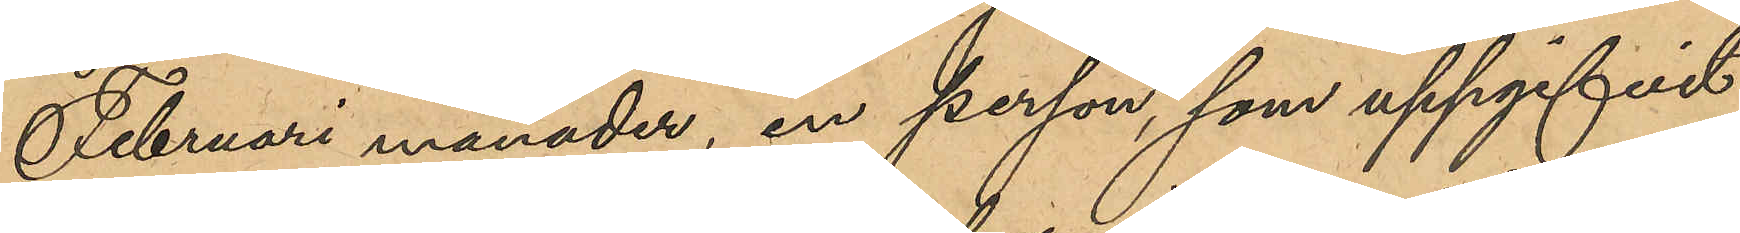Februari månader, en person, som uppgifvit
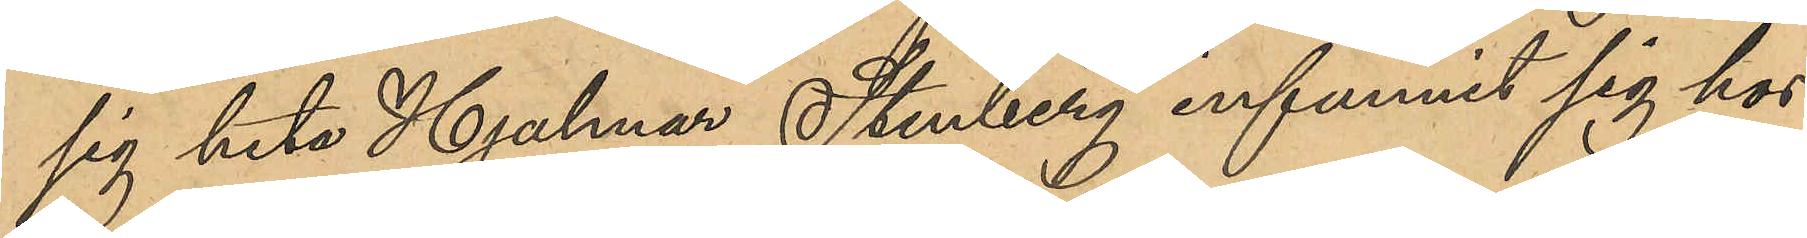sig heta Hjalmar Stenberg infunnit sig hos
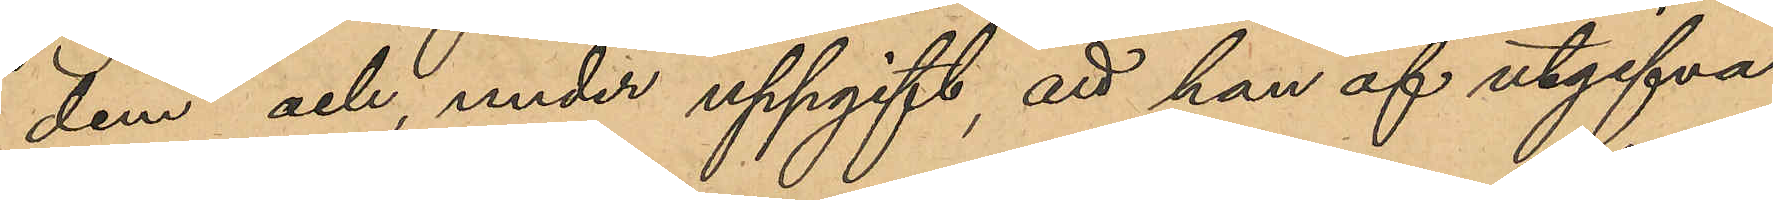dem, och under uppgift, att han af utgifva¬
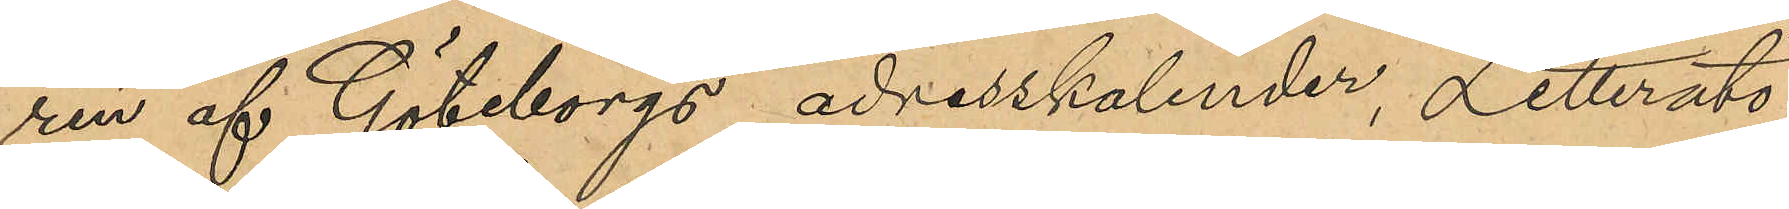ren af Göteborgs adresskalender, Litteratö¬
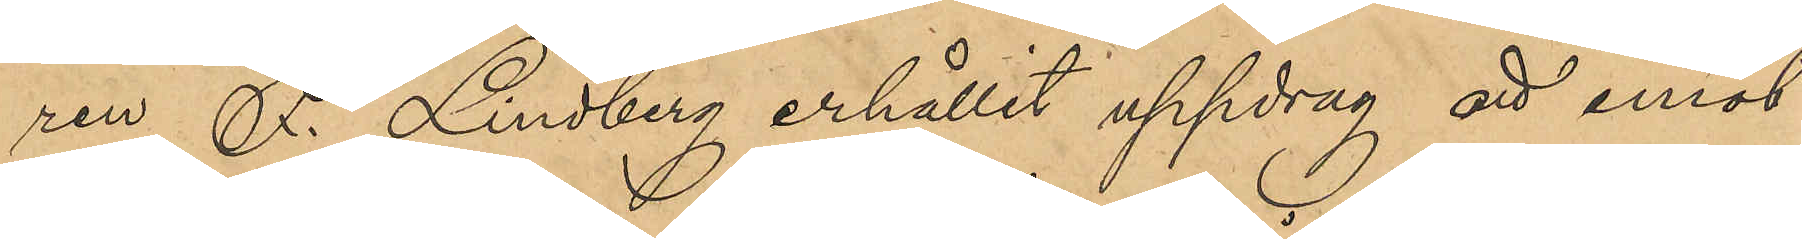ren F. Lindberg erhållit uppdrag att emot¬
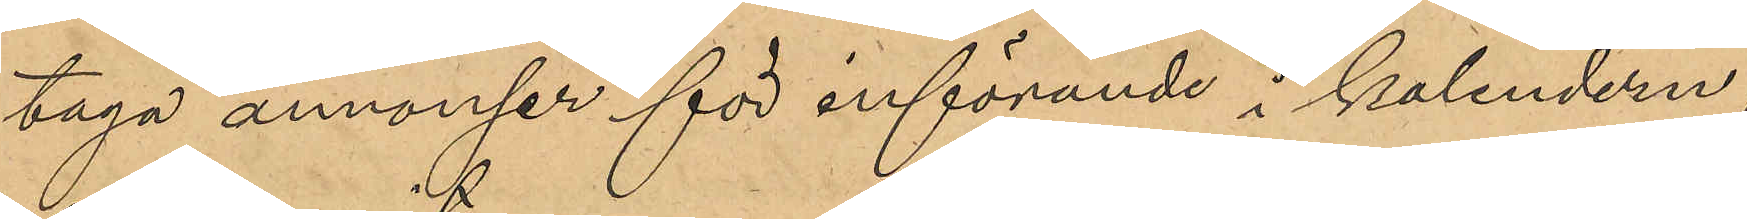taga annonser för införande i kalendern,
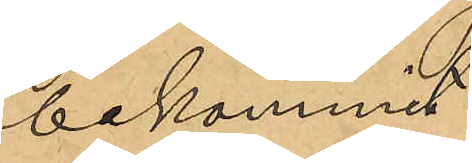bekommit:
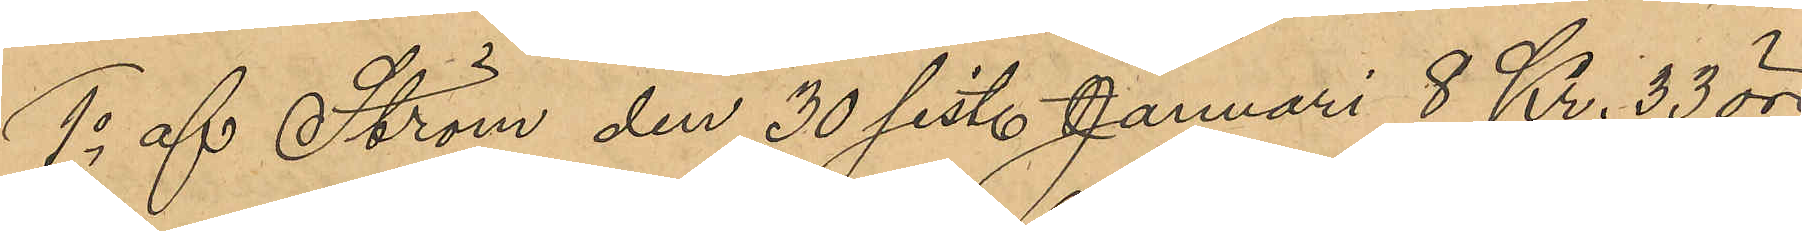1o af Ström den 30 sist. Januari 8 Kr. 33 öre
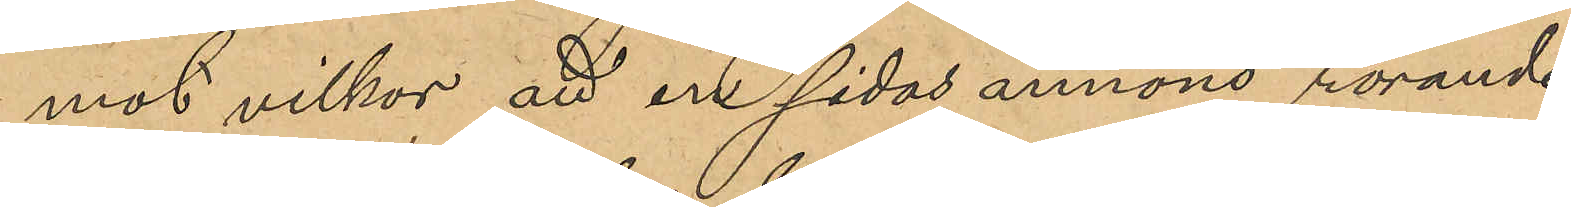mot villkor att en sidas annons rörande
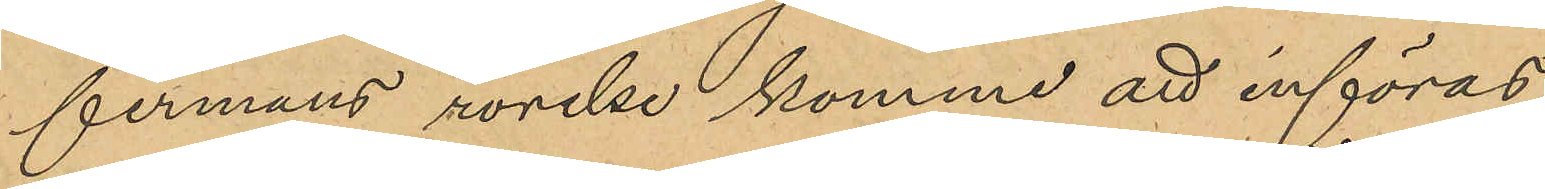firmans rörelse komme att införas
